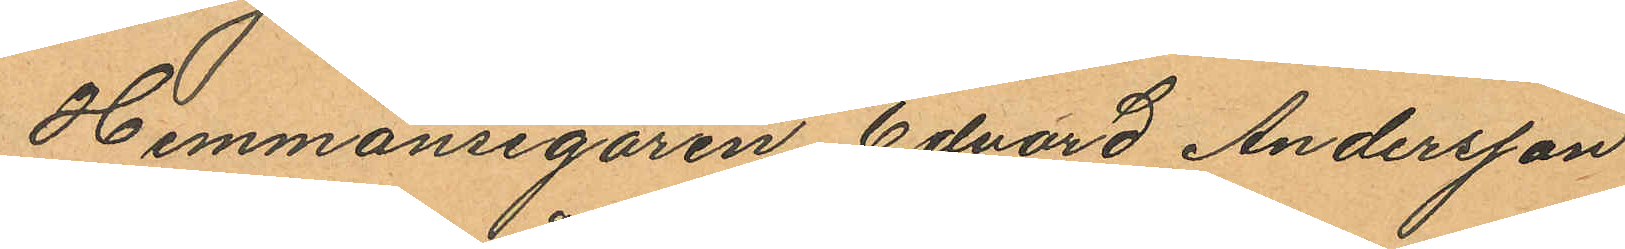Hemmansegaren Edvard Andersson
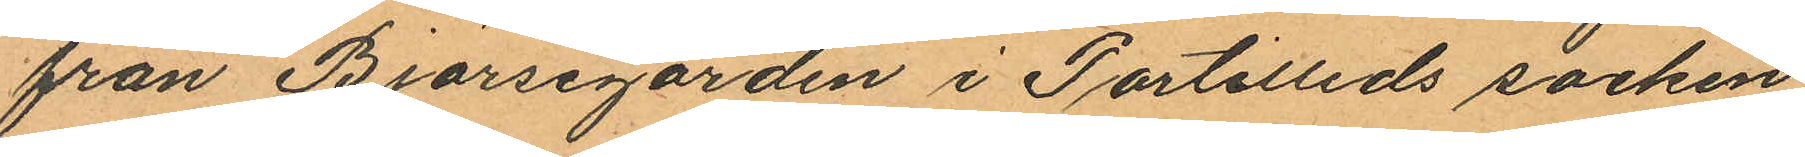från Björsegården i Partilleds socken
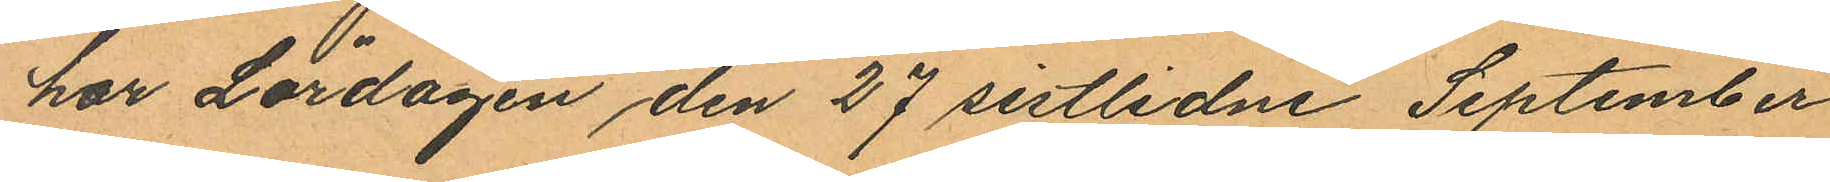har Lördagen den 27 sistlidne September
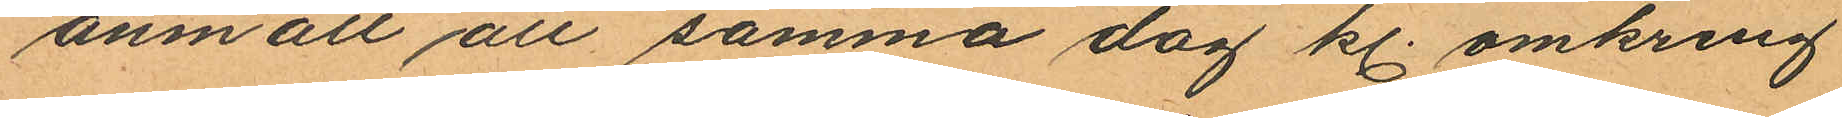anmält att samma dag kl. omkring
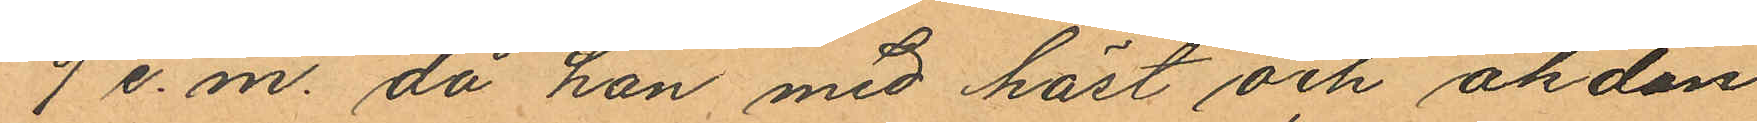9 e.m. då han med häst och åkdon
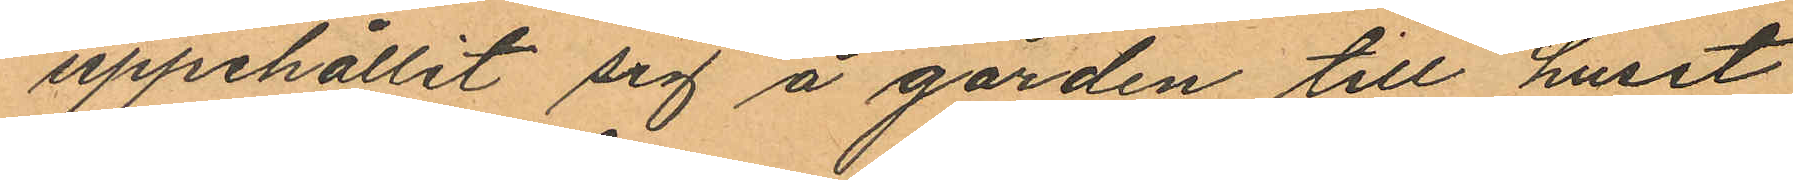uppehållit sig å gården till huset
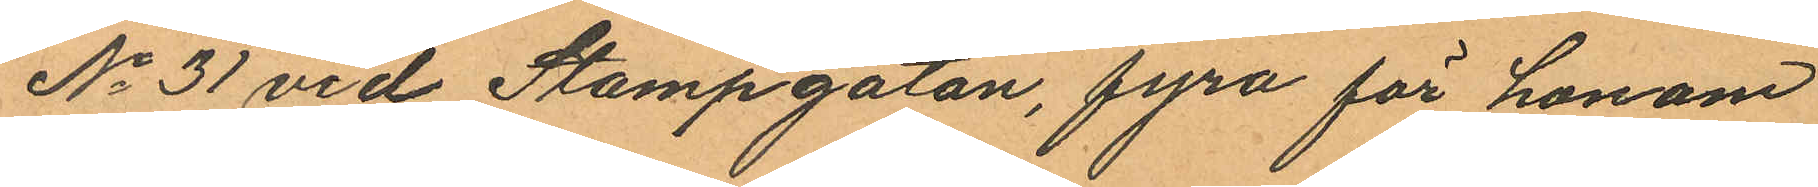No 31 vid Stampgatan, fyra för honom
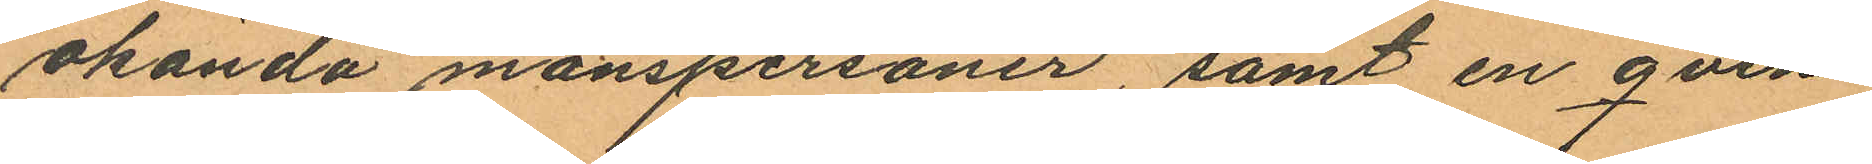okända manspersoner, samt en qvin¬
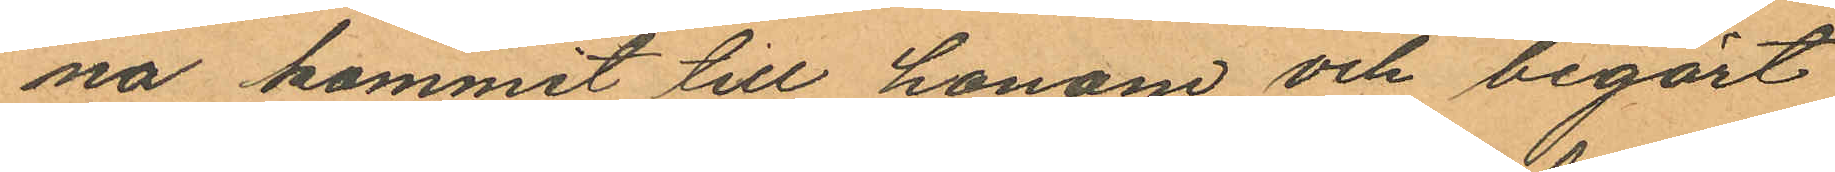na kommit till honom och begärt
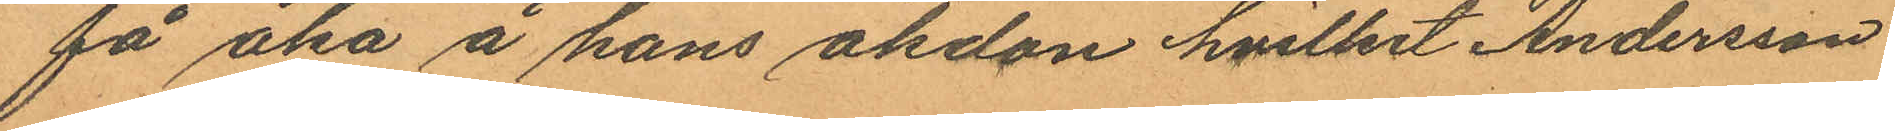få åka å hans åkdon hvilket Andersson
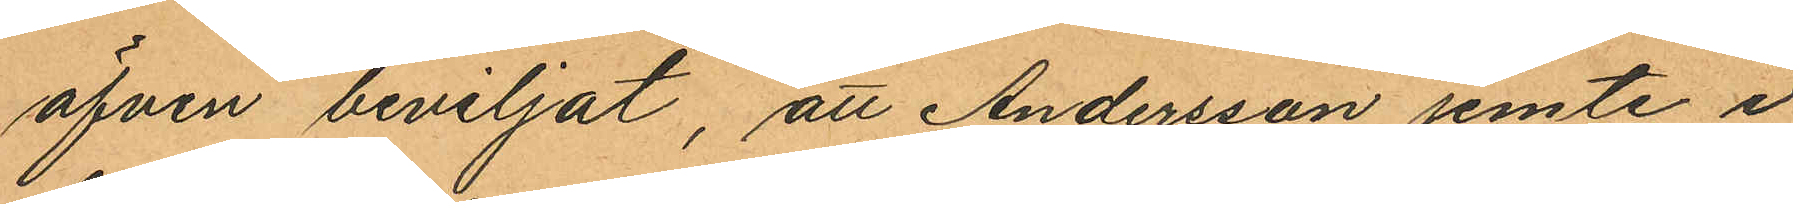äfven beviljat, att Andersson jemte i
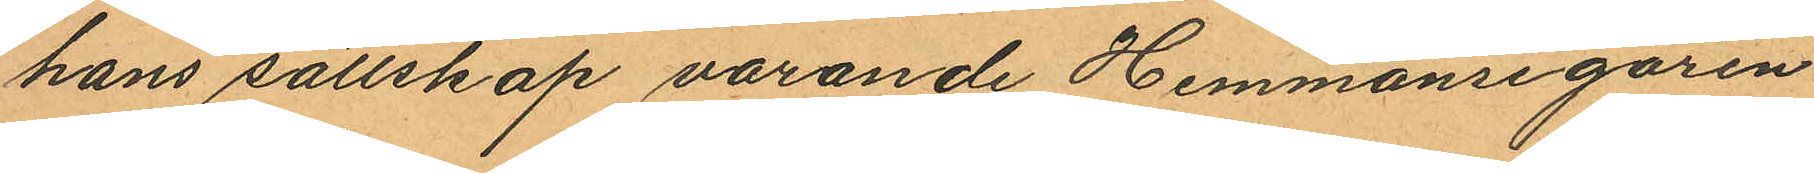hans sällskap varande Hemmansegaren
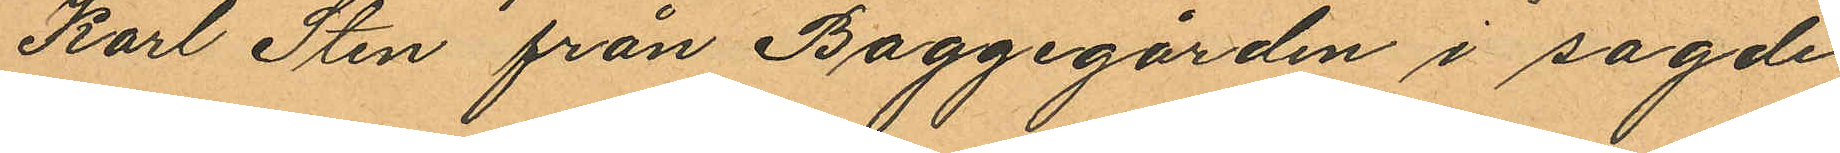Karl Sten från Baggegården i sagde
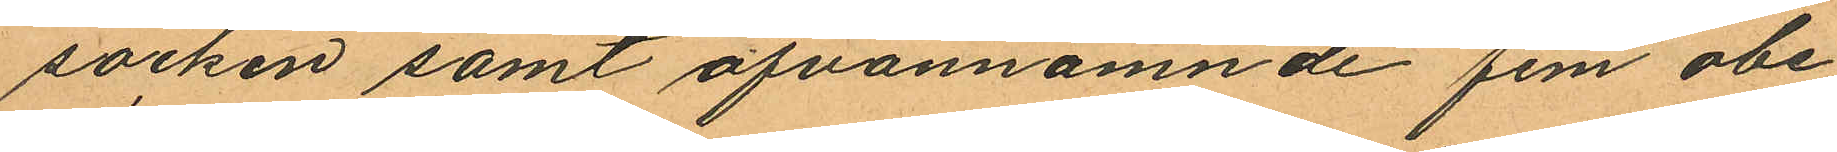socken samt ofvannämnde fem obe¬¬
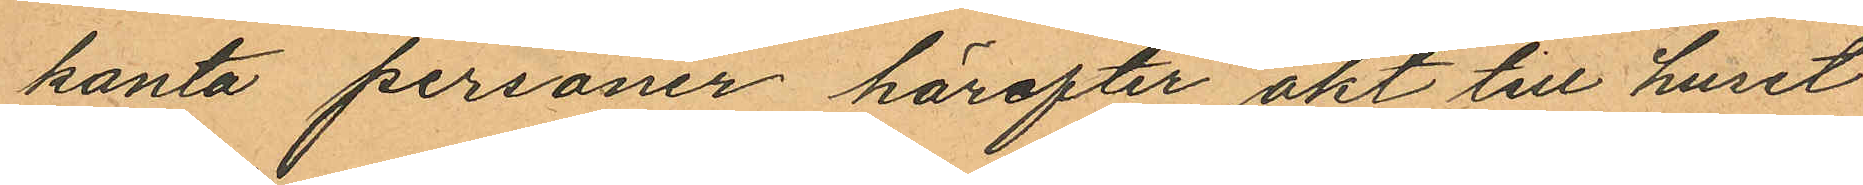kanta personer härefter akt till huset
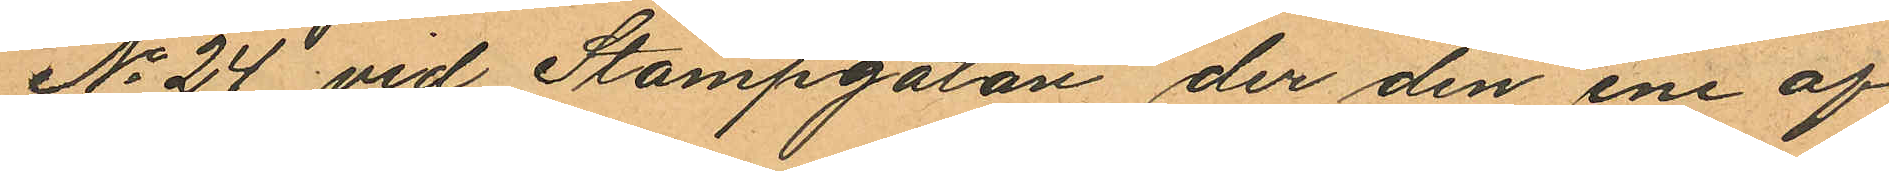No 24 vid Stampgatan der den ene af
